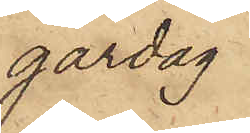gårdag
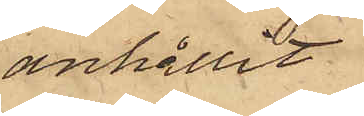anhållit
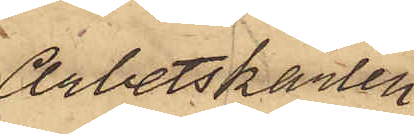Arbetskarlen
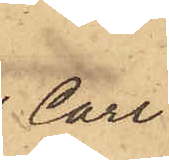Carl
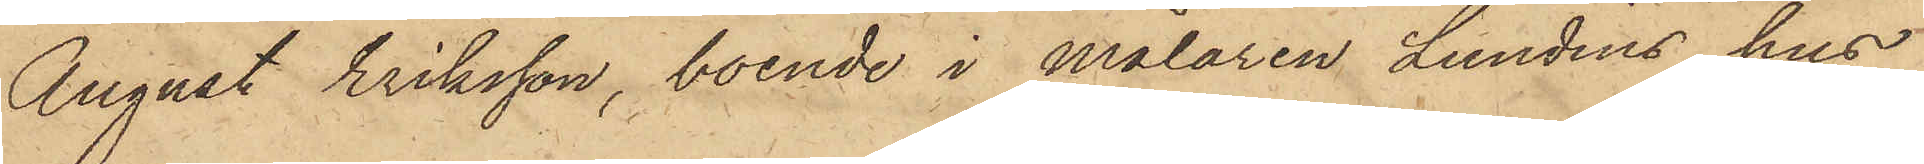August Eriksson, boende i målaren Lundins hus
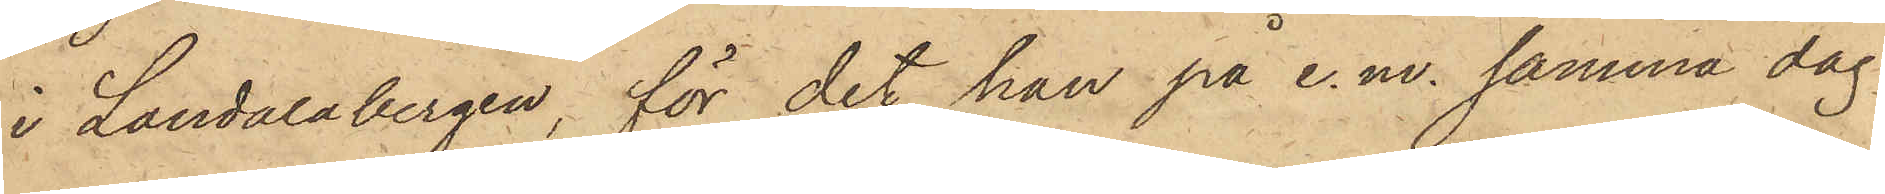i Landalabergen, för det han på e. m. samma dag
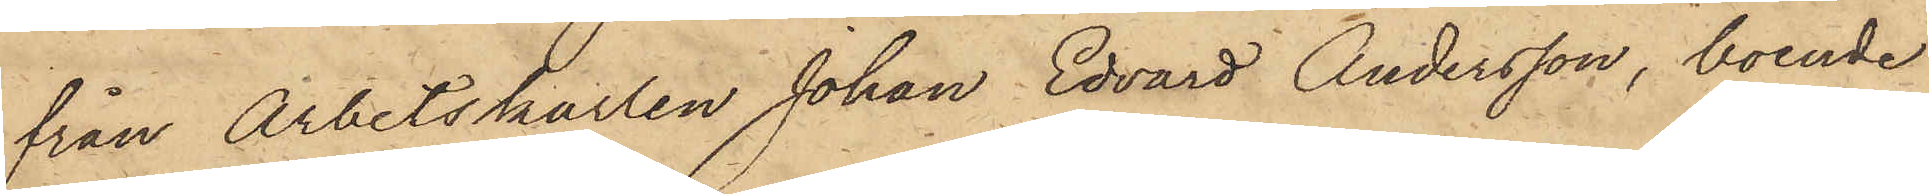från Arbetskarlen Johan Edvard Andersson, boende
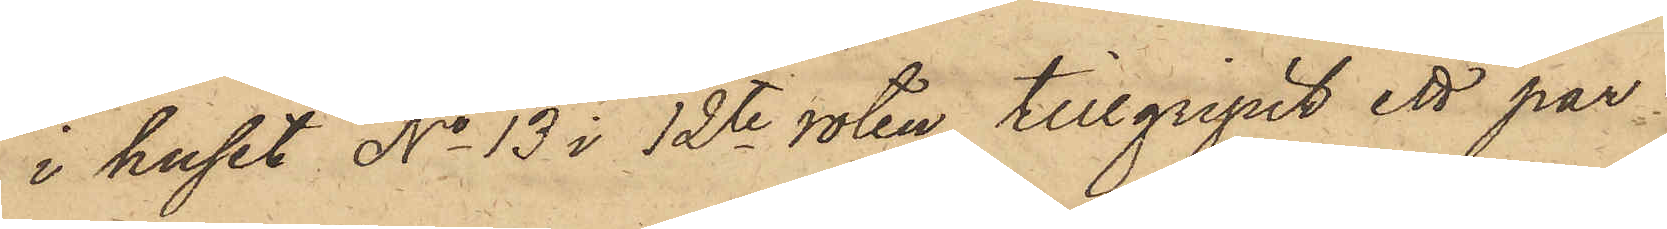i huset No 13 i 12te roten, tillgripit ett par
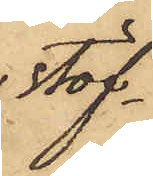stöf¬
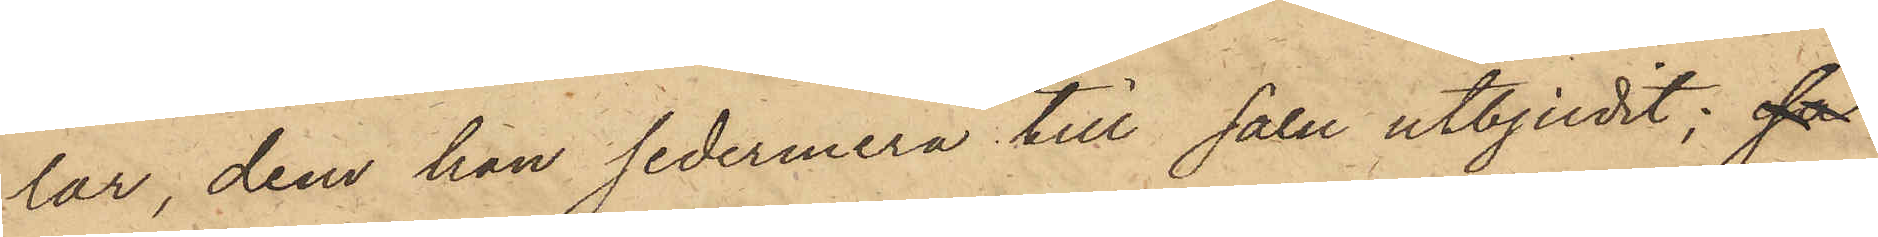lar, dem han sedermera till salu utbjudit; så
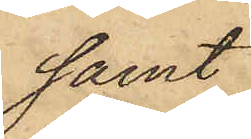samt
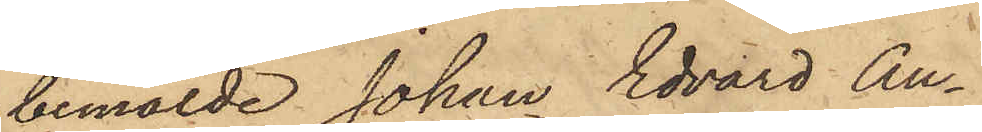bemälde Johan Edvard An¬
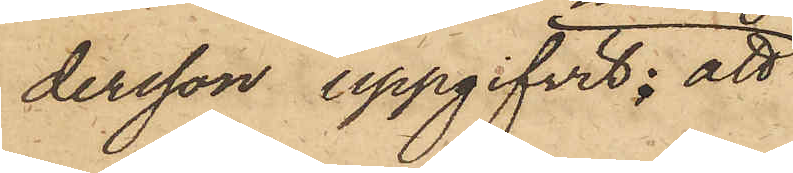dersson uppgifvit, att
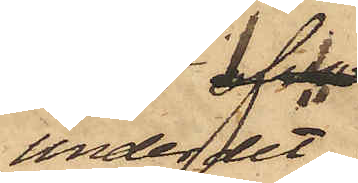under det
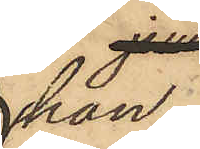han
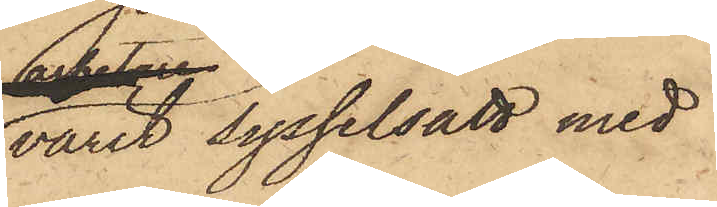varit sysselsatt med
